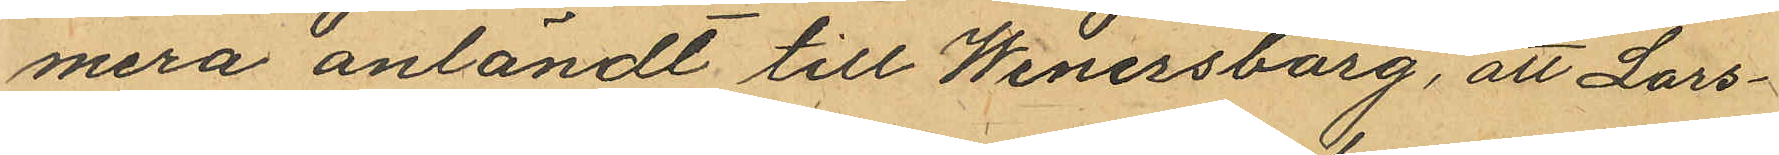mera anländt till Wenersborg, att Lars¬
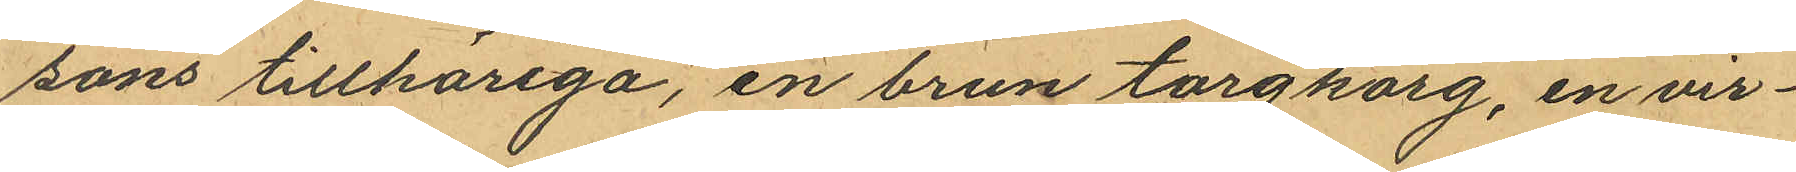sons tillhöriga, en brun torgkorg, en vir¬
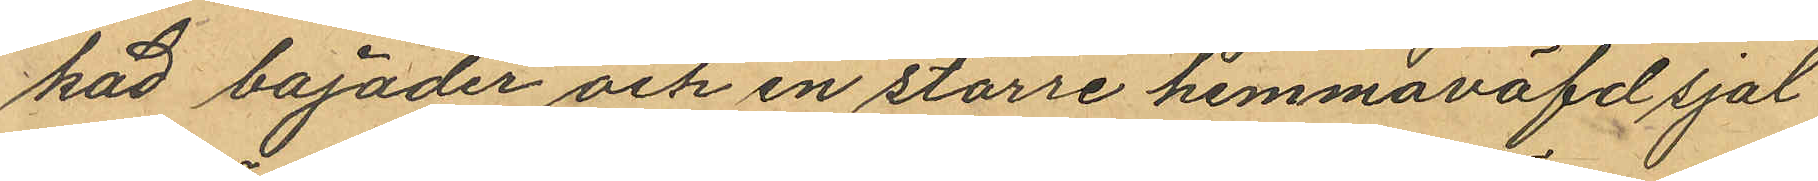kad bajader och en större hemmaväfd sjal
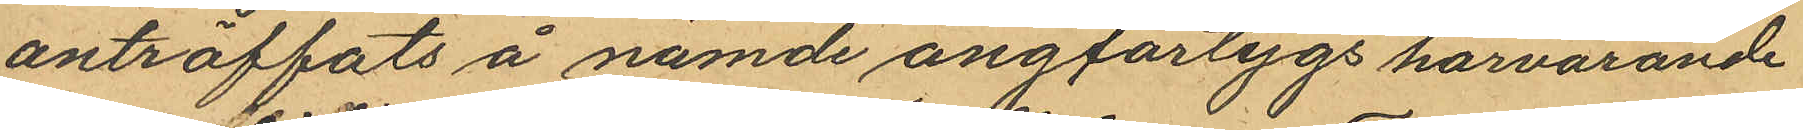anträffats å nämde ångfartygs härvarande
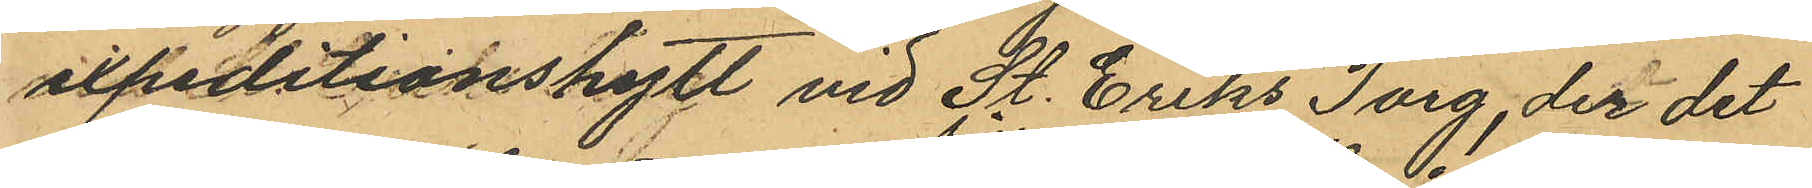expeditionshytt vid St. Eriks Torg, der det
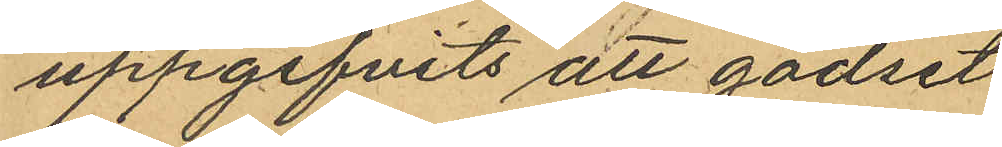uppgifvits att godset
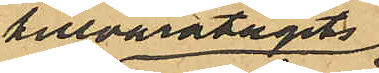tillvaratagits
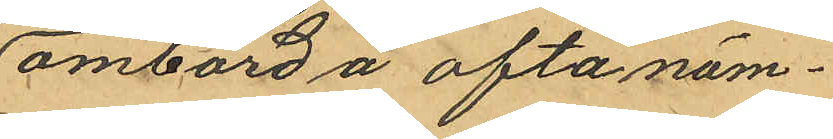ombord å oftanäm¬
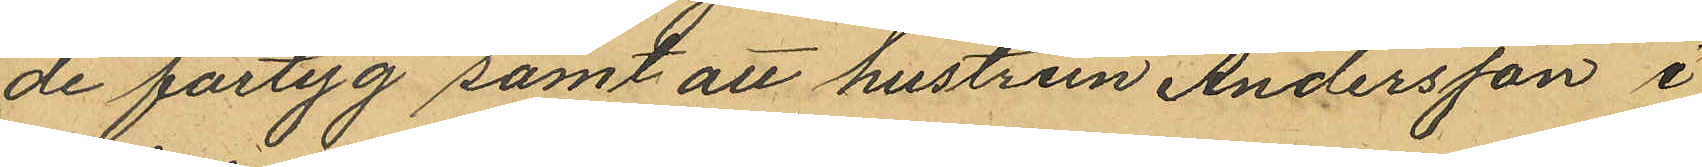de fartyg samt att hustrun Andersson i
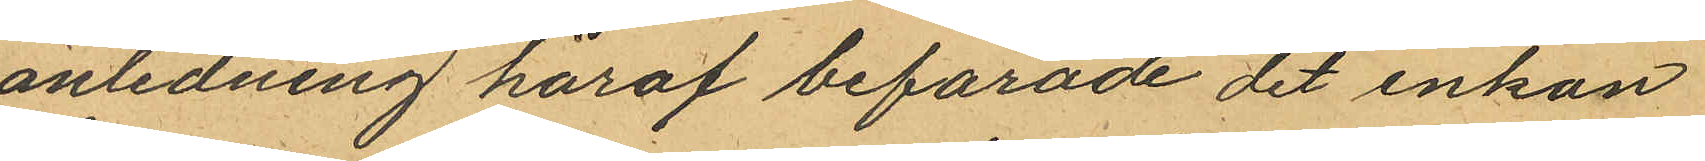anledning häraf befarade det enkan
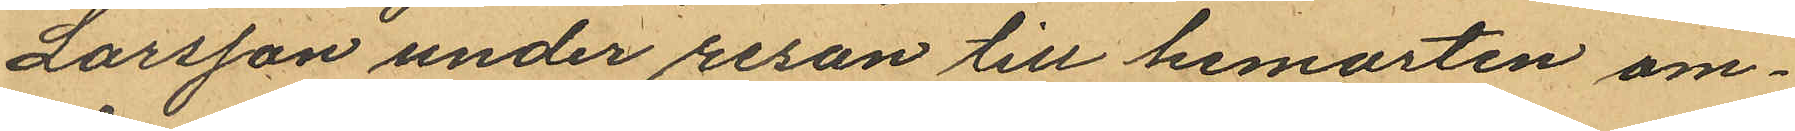Larsson under resan till hemorten om¬
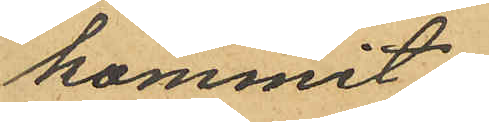kommit
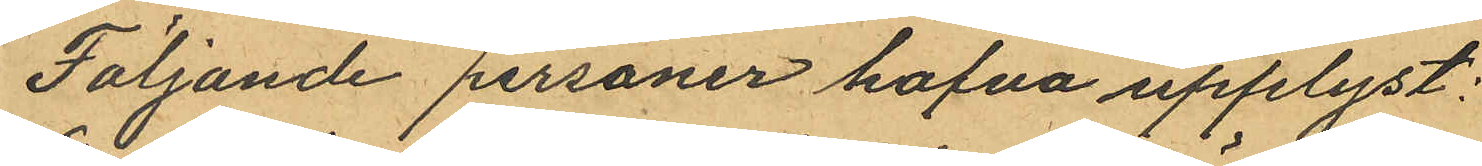Följande personer hafva upplyst:
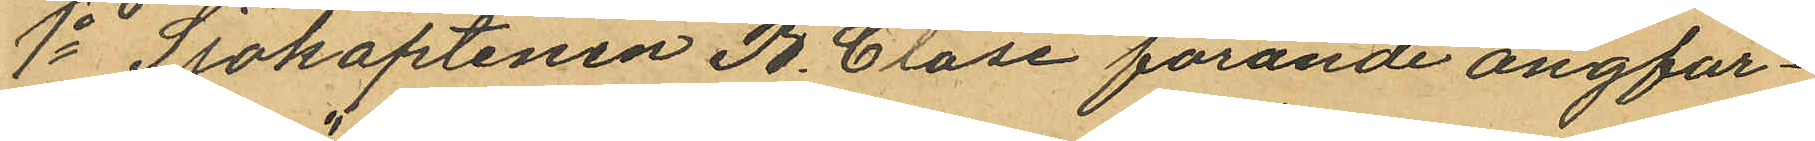1o Sjökaptenen B. Clase förande ångfar¬
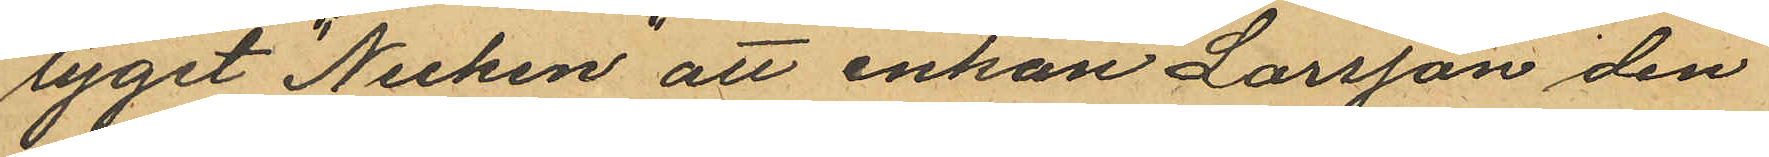tyget "Necken" att enkan Larsson den
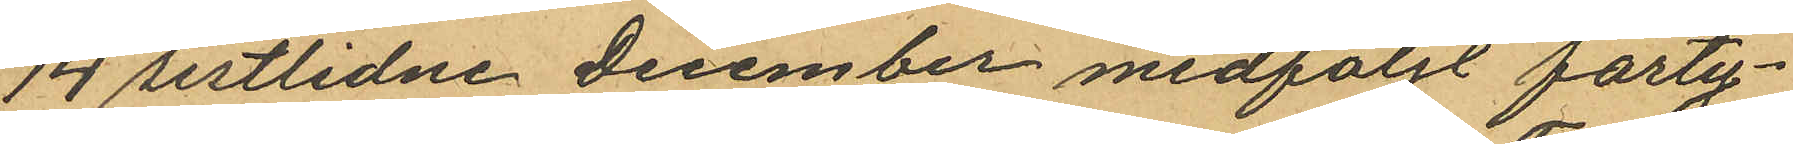14 sistlidne December medföljt farty¬
